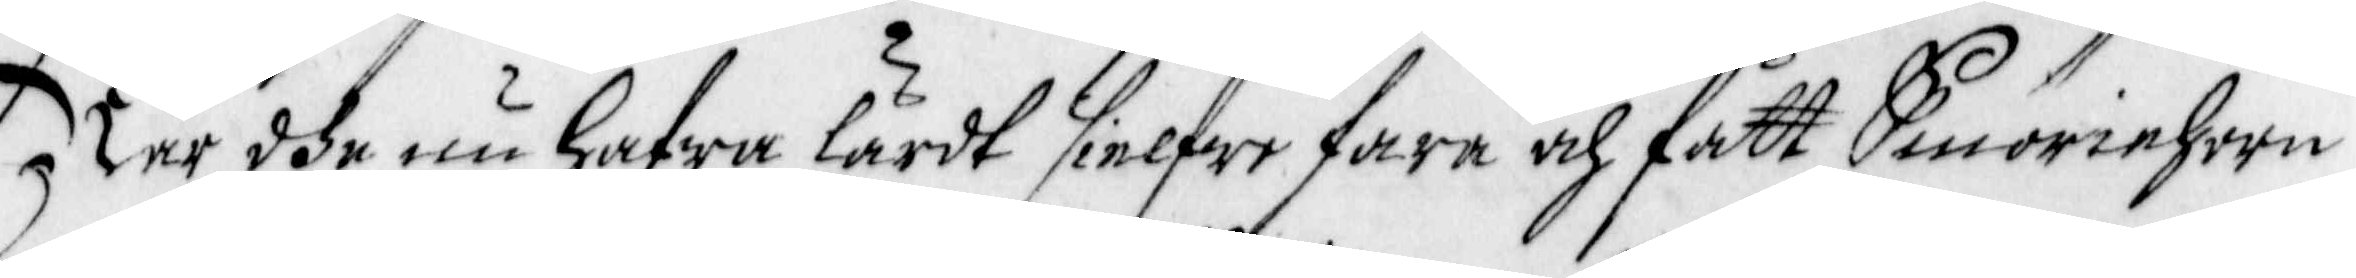När dhe nu hafwa lärdt sielfwe fara och fått Smöriehorn
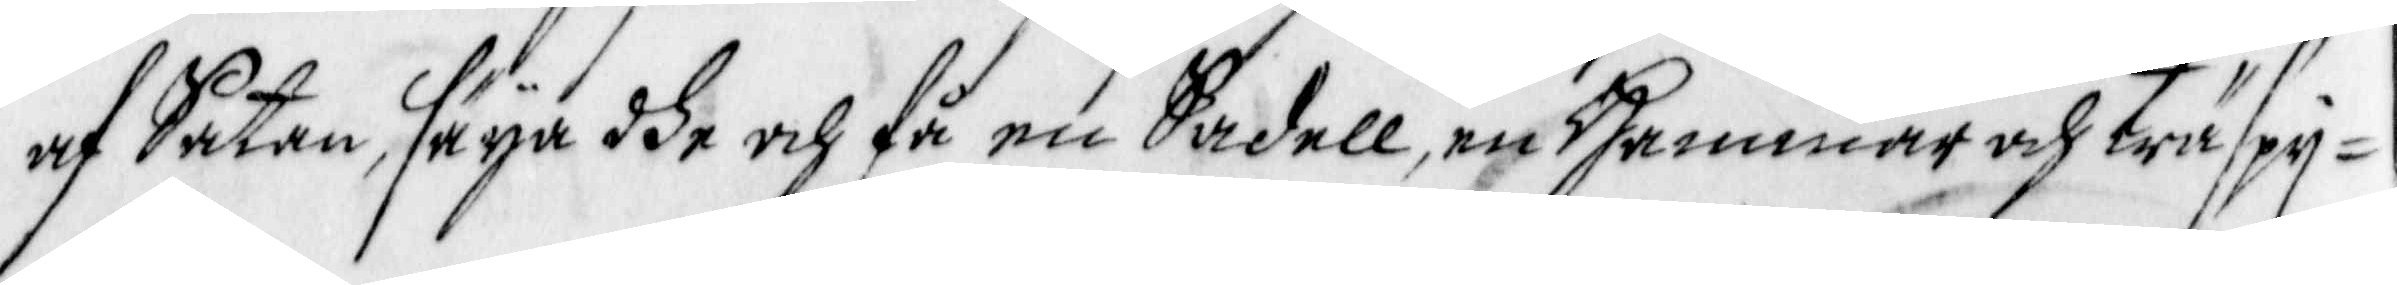af Satan, säya dhe och få en Sadell, en hammar och träspy¬
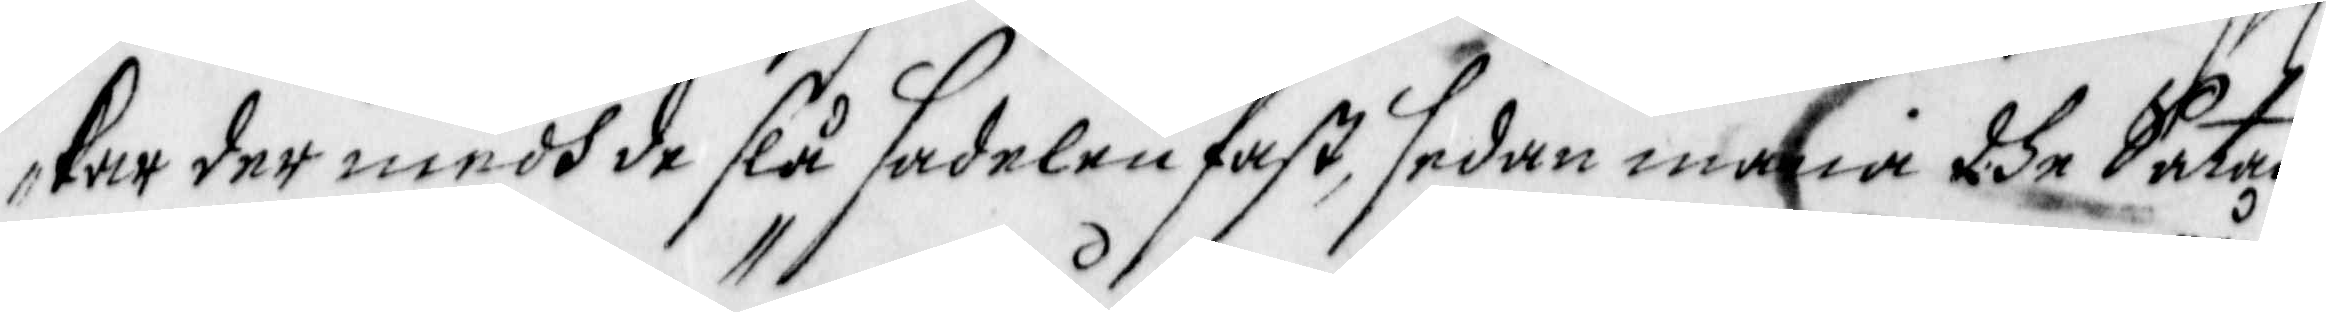kar der medh de slå sadelen fast, sedan mana dhe Satan
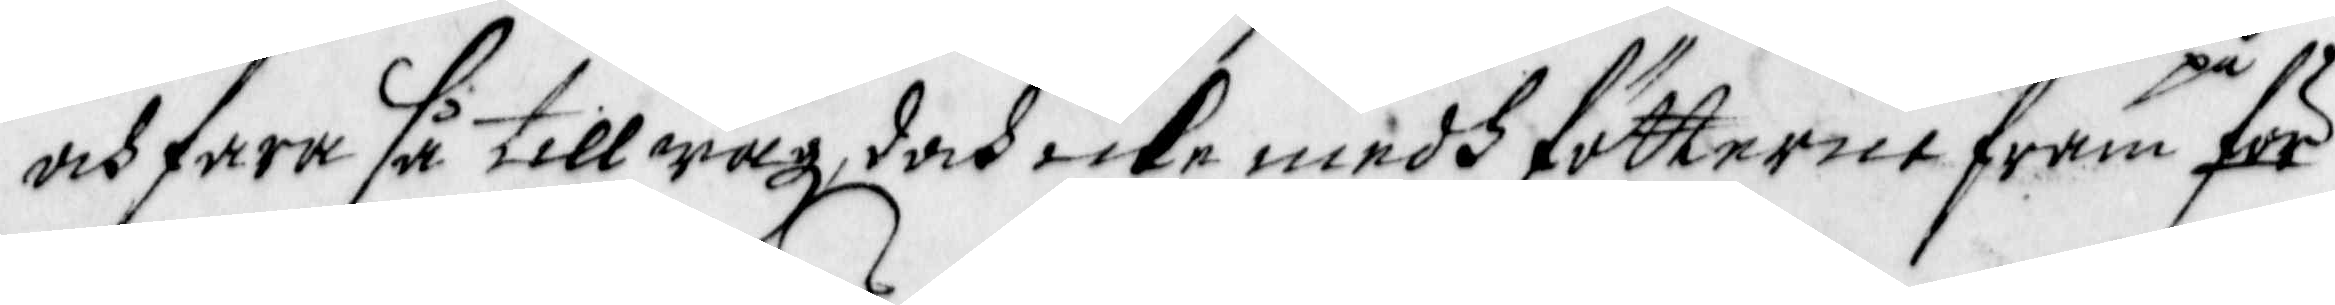och fara så till wäg, doch icke medh fötterne fram på för
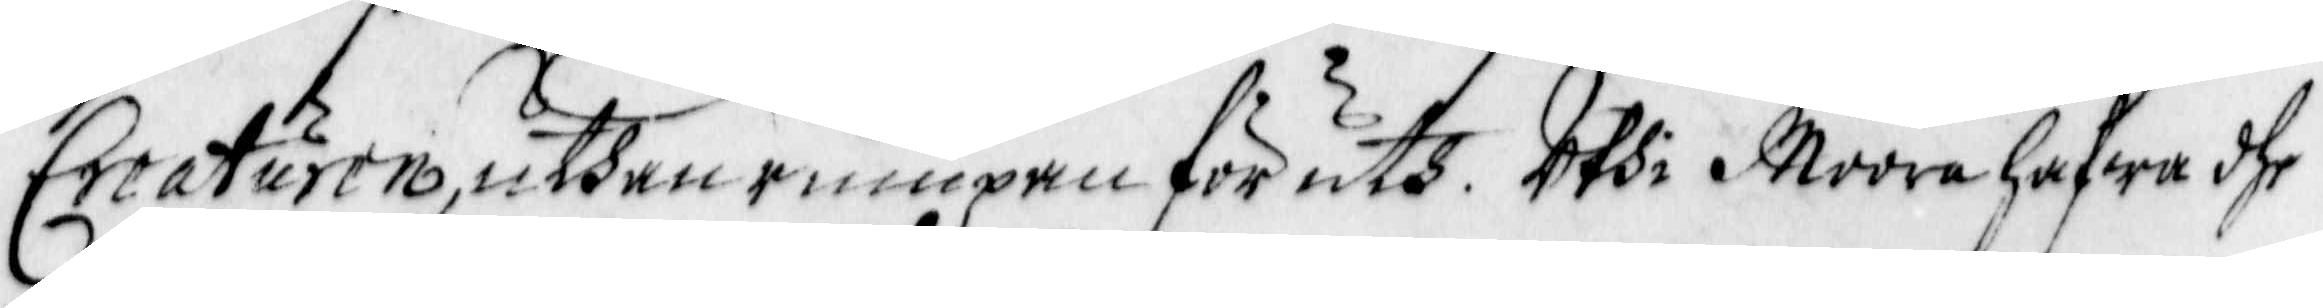Creaturen, uthan rumpan för uth. Uthi Moora hafwa dhe
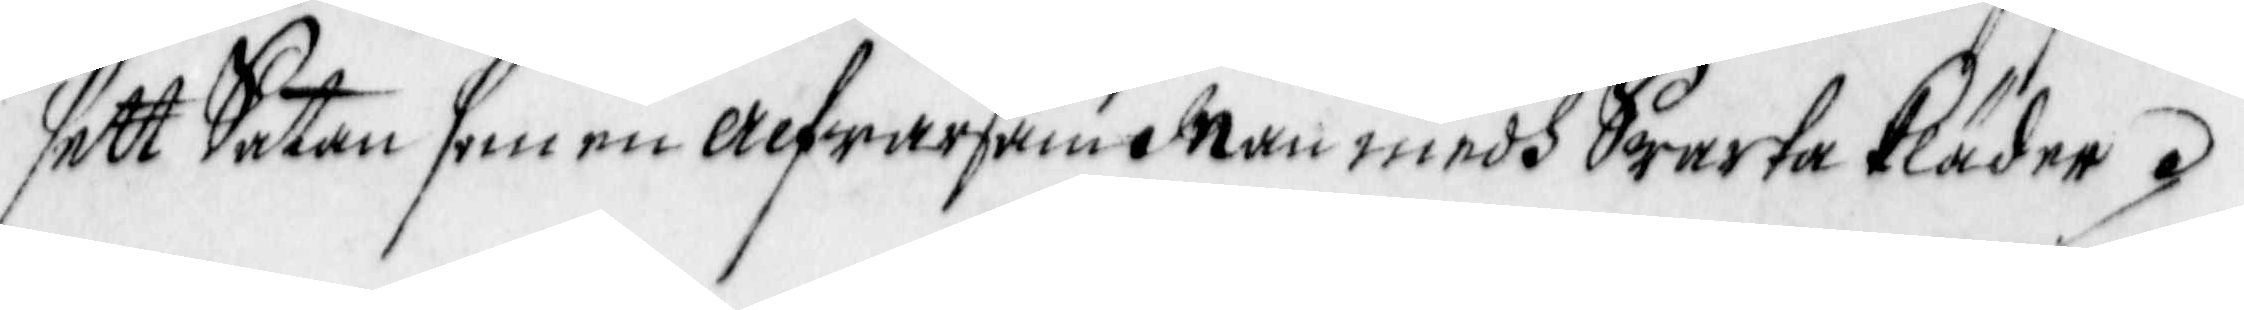sett Satan som en alfwarsam Man medh Swarta kläder.
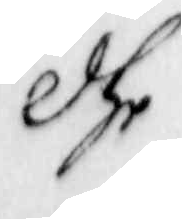Dhe
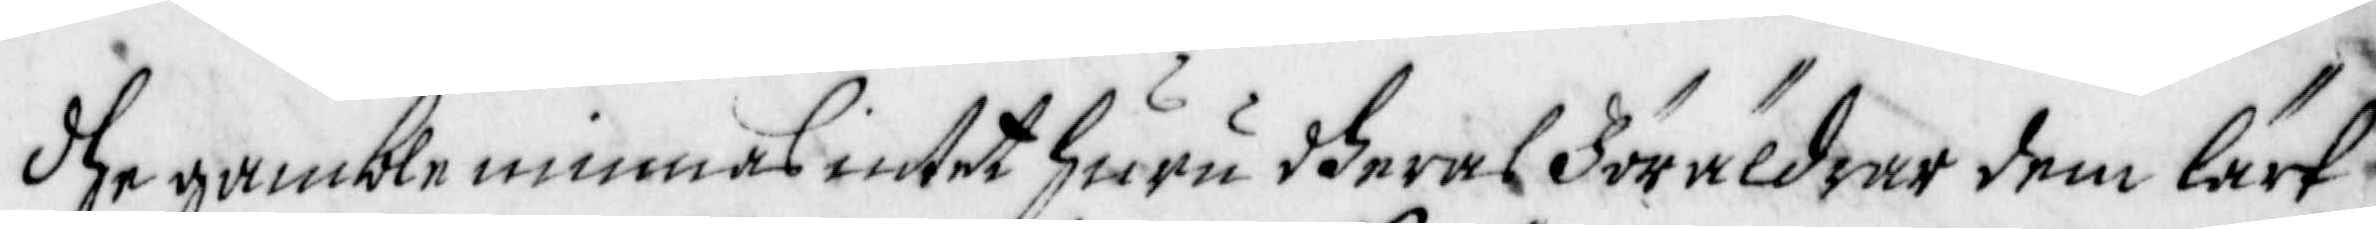dhe gamble minnas intet huru dheras föräldrar dem Lärt
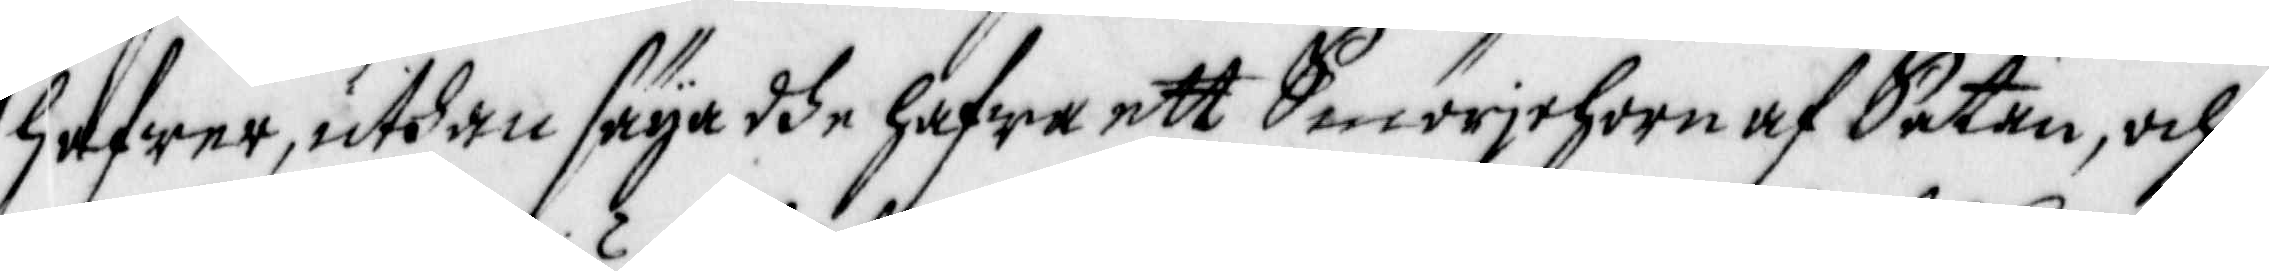hafwer, uthan säya dhe hafwa ett Smörjehorn af Satan, och
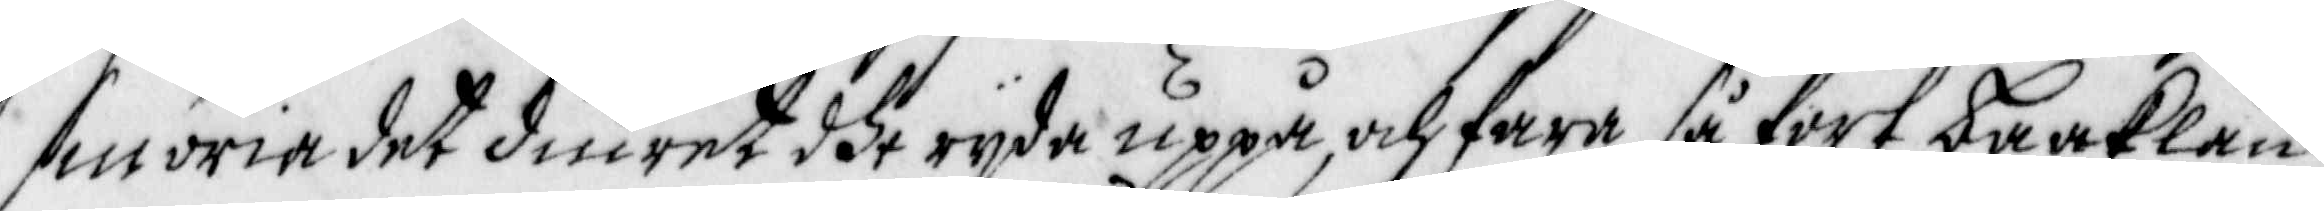smnöria det diuret dhe ryda uppå och fara så fort baaklän¬
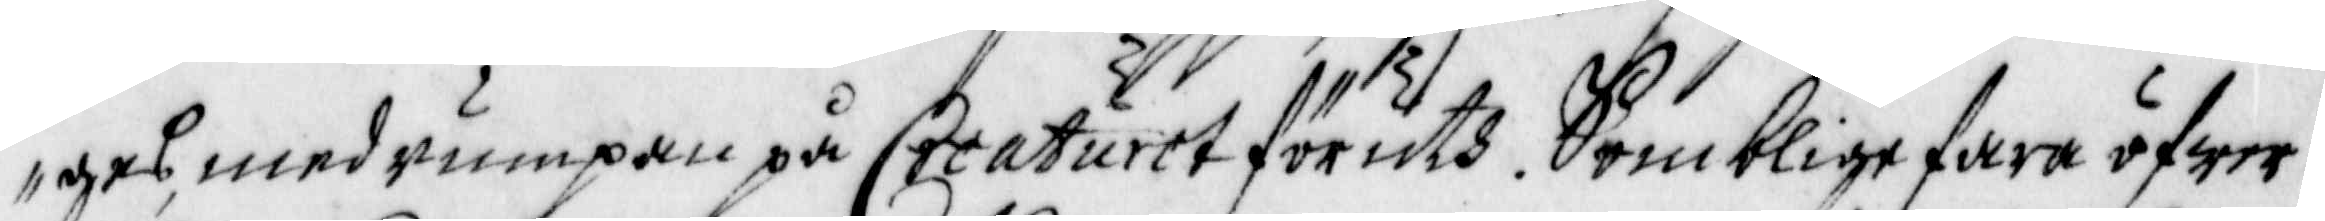ges, med rumpan på Creaturet föruth. Somblige fara öfwer
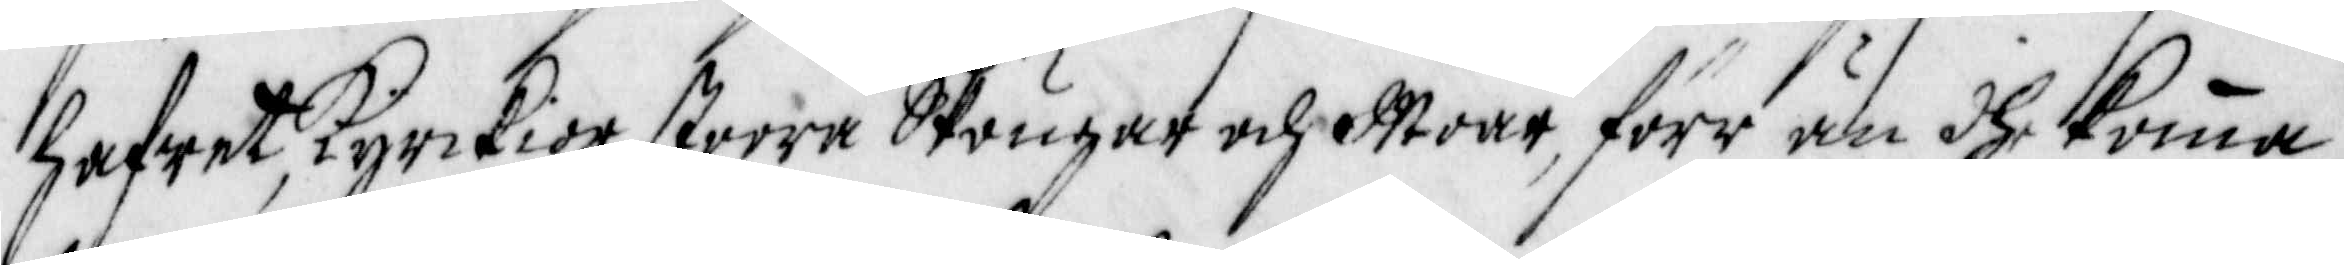hafwet, Kyrckior, stoora Skougar och Moar, förr än dhe komma
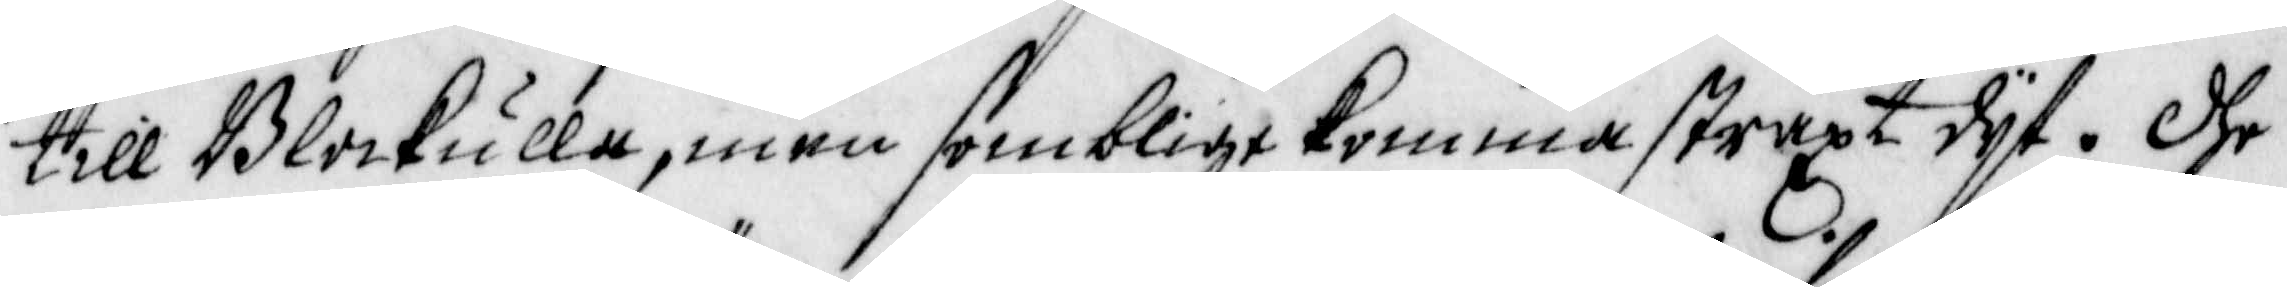till Blockulla, men somblige komma straxt dyt. Dhe
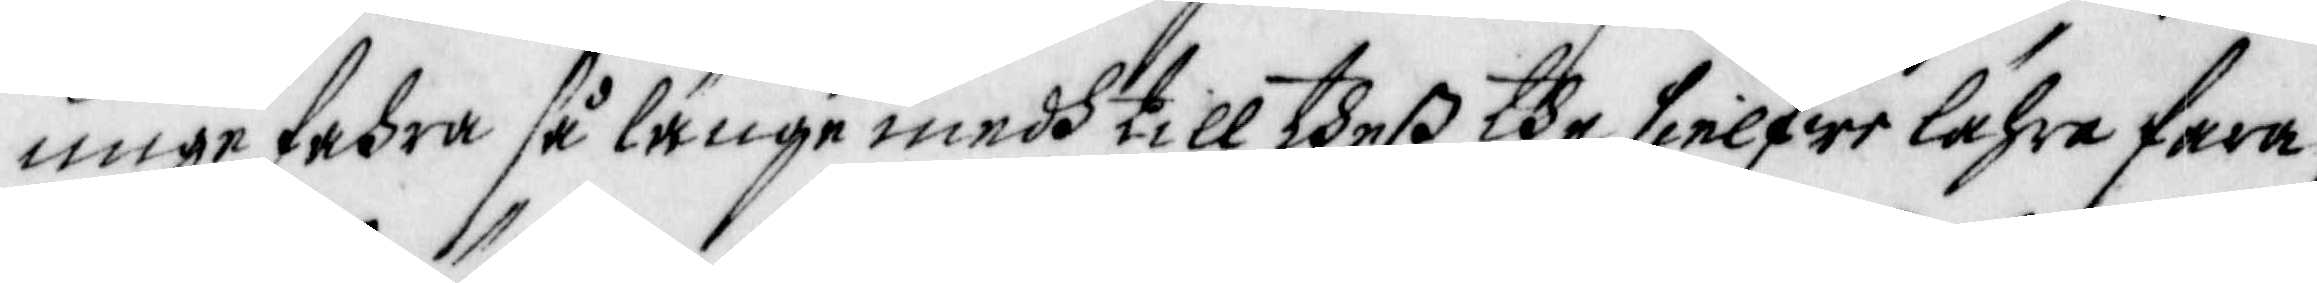unge fahra så länge medh till dheß the sielfwe lähre fara,
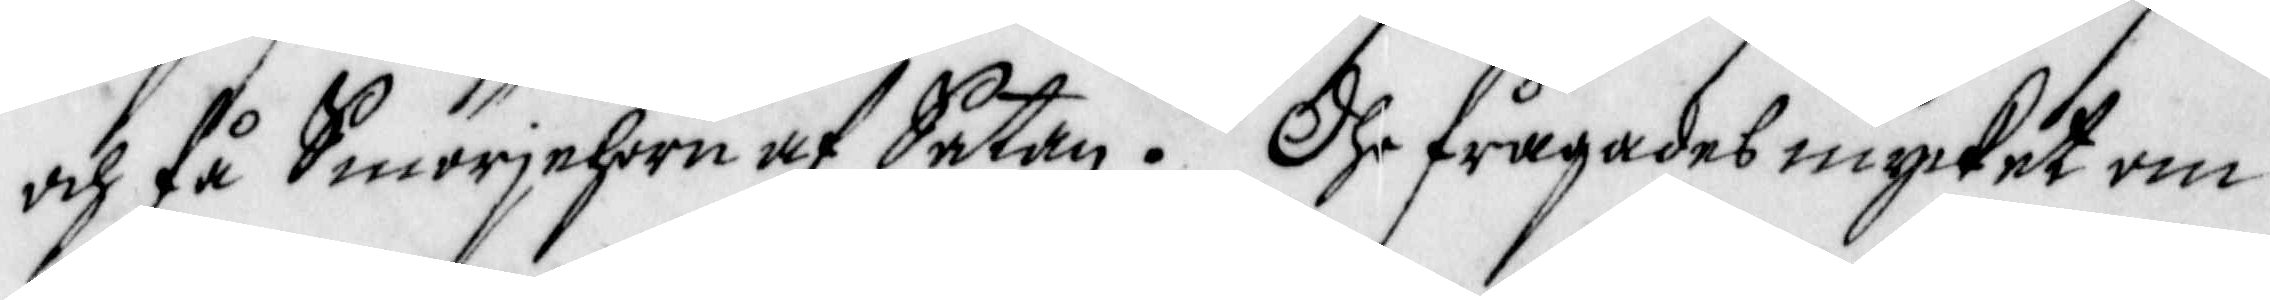och få Smörjehorn af Satan. Dhe frågades mycket om
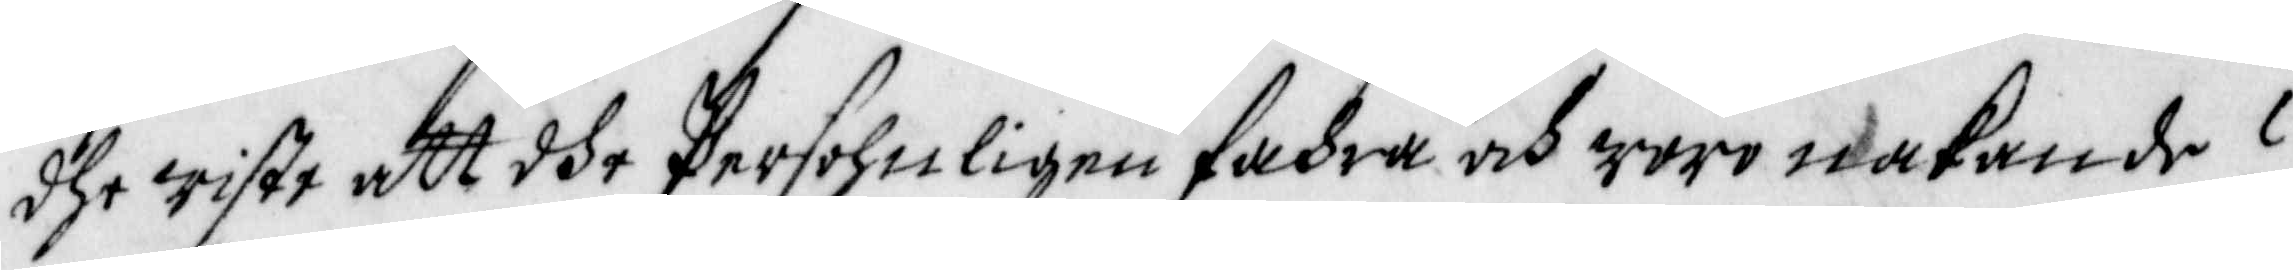dhe wiste att dhe persohnligen fahra och woro nakande?
